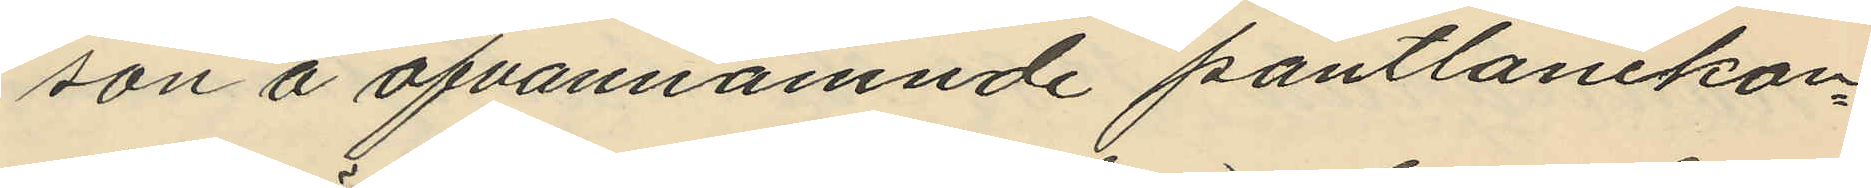son å ofvannämnde pantlånekon¬
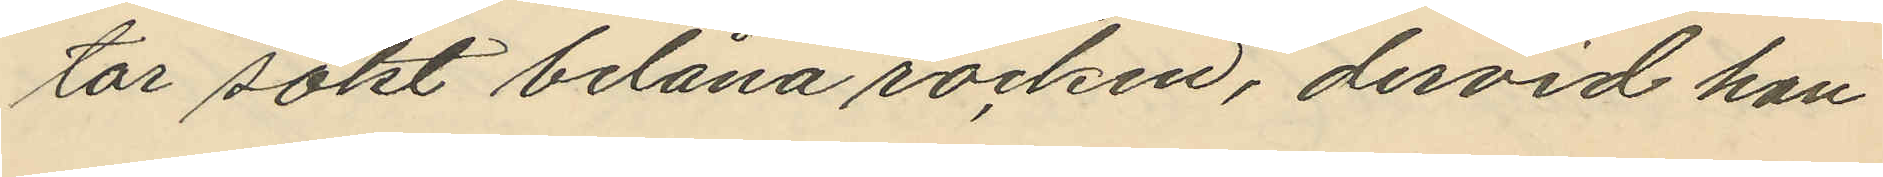tor sökt belåna rocken, dervid han
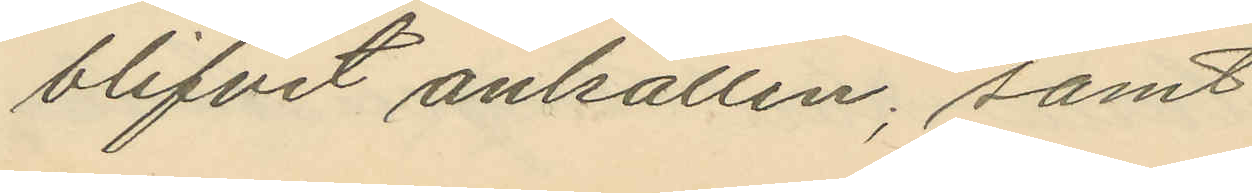blifvit anhållen; samt
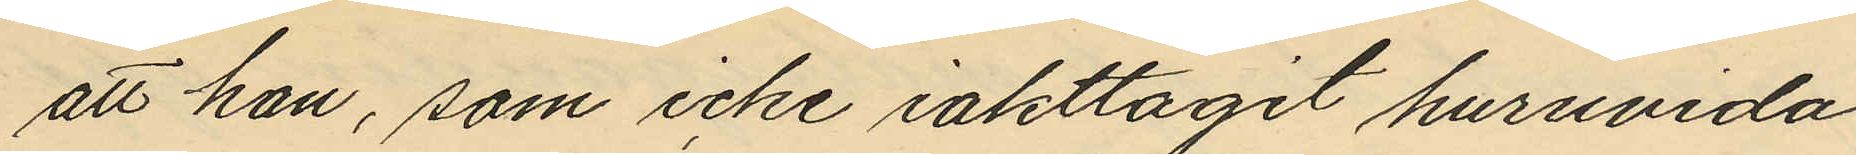att han, som icke iakttagit huruvida
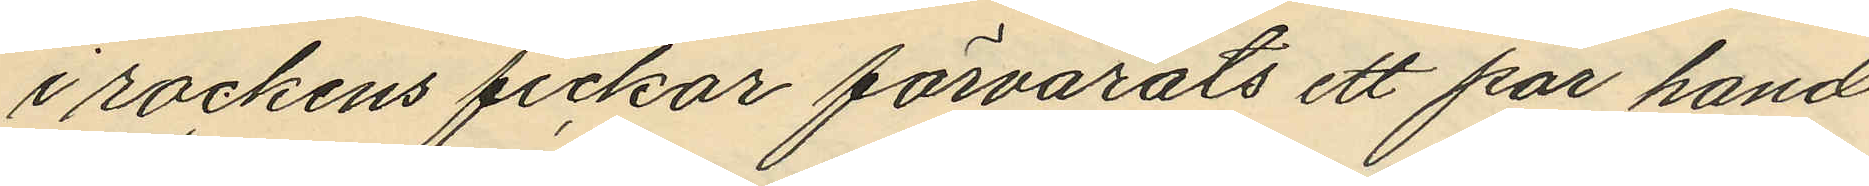i rockens fickor förvarats ett par hand¬
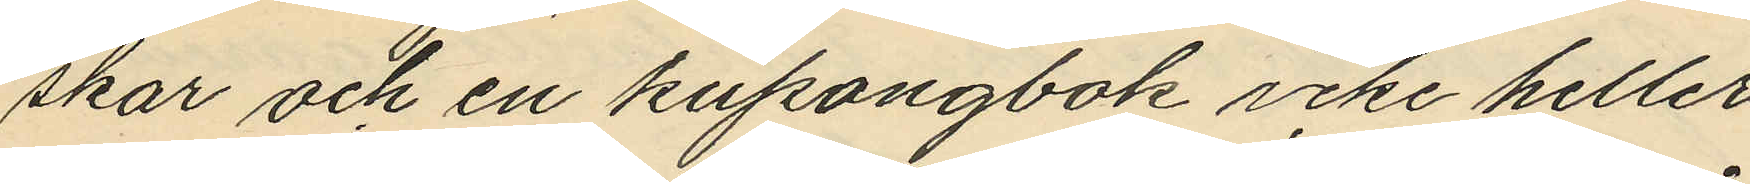skar och en kupongbok icke heller
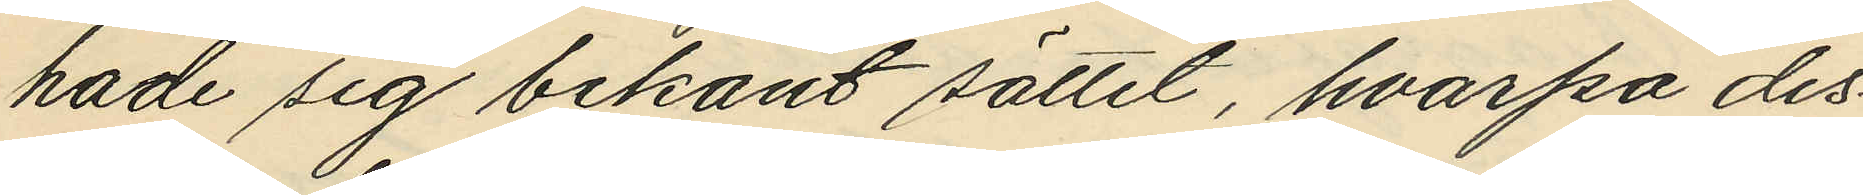hade sig bekant sättet, hvarpå des¬
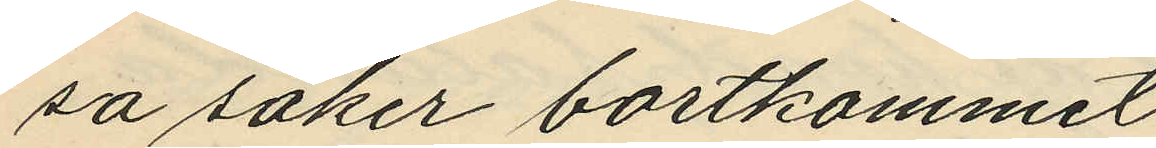sa saker bortkommit.
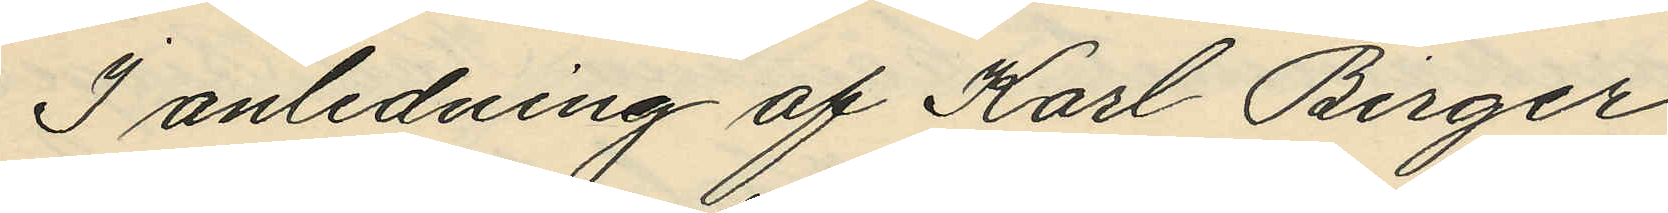I anledning af Karl Birger
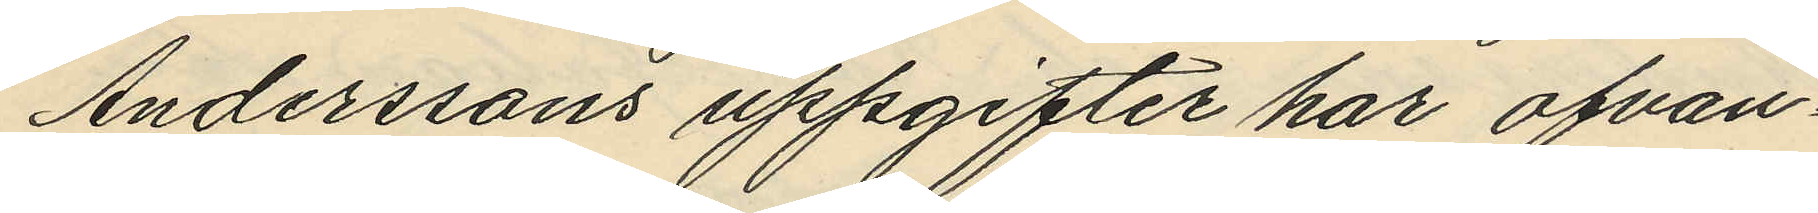Anderssons uppgifter har ofvan¬
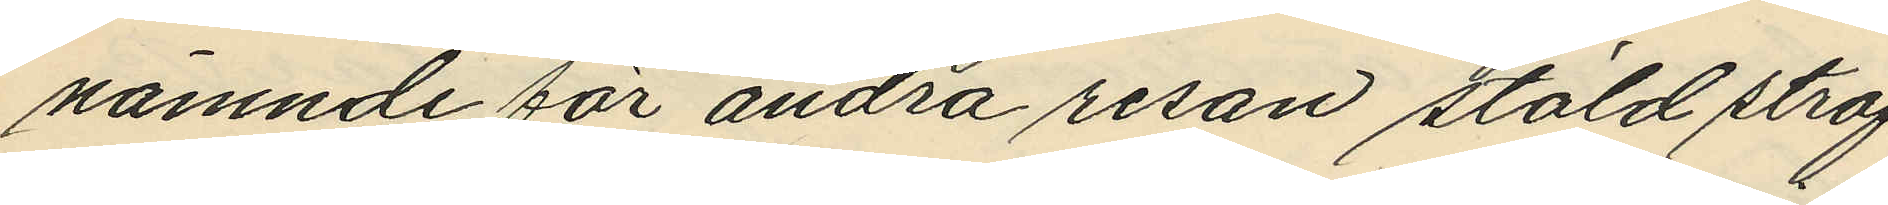nämnde för andra resan stöld straf¬
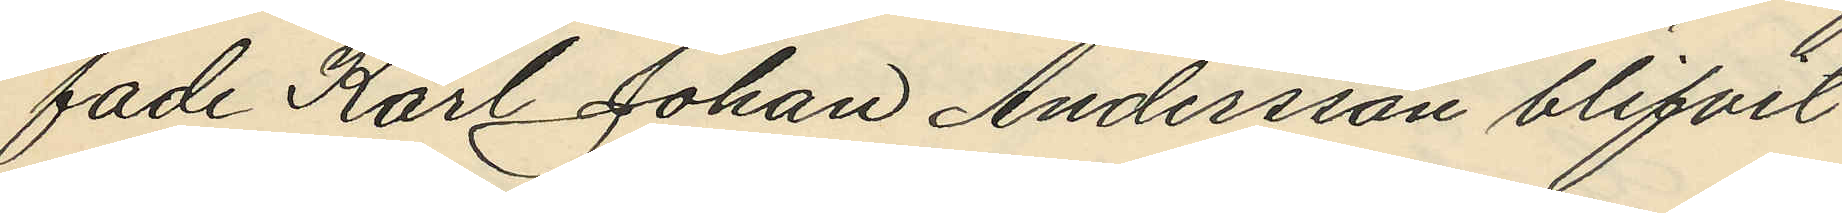fade Karl Johan Andersson blifvit
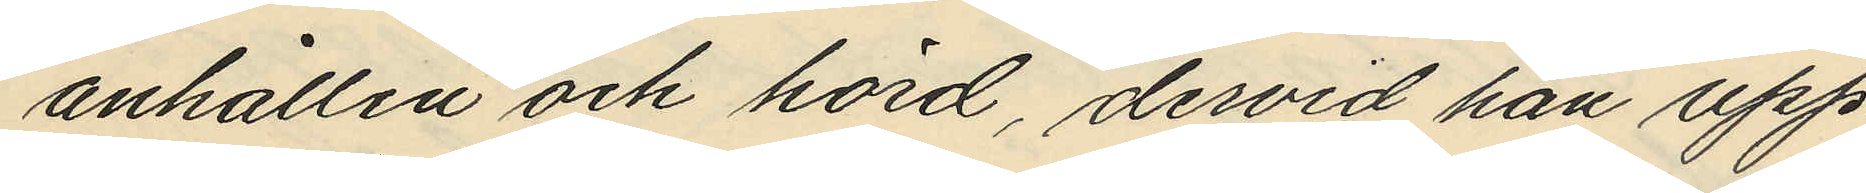anhållen och hörd, dervid han upp¬
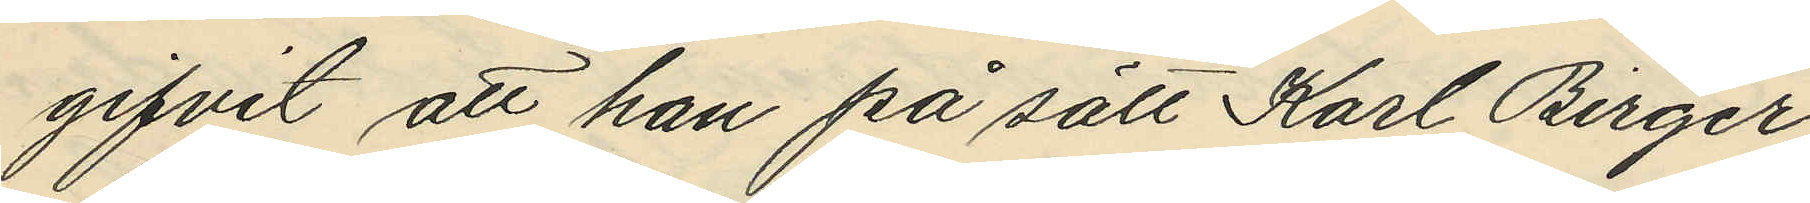gifvit att han på sätt Karl Birger
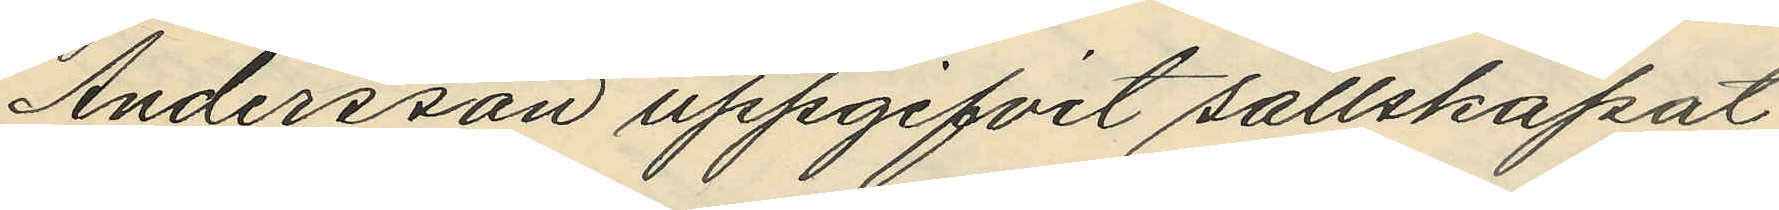Andersson uppgifvit sällskapat
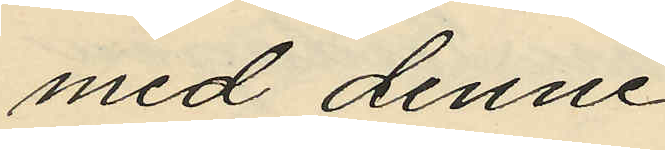med denne;
